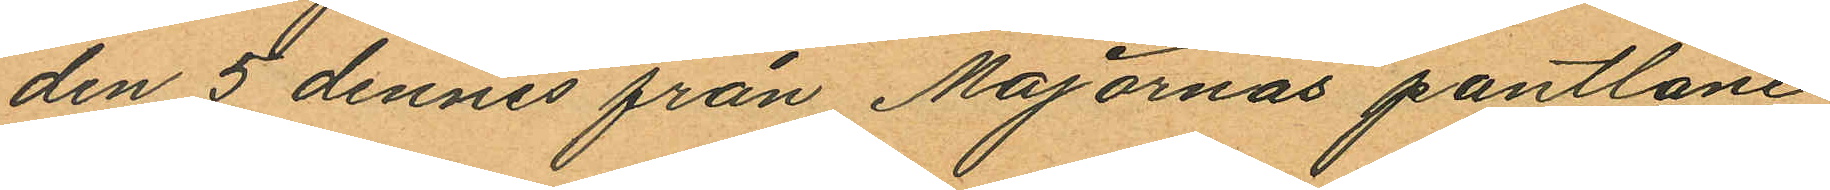den 5 dennes från Majornas pantlåne
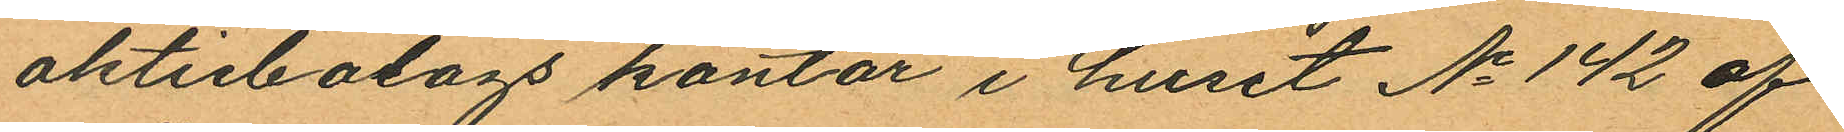aktiebolags kontor i huset No 142 af
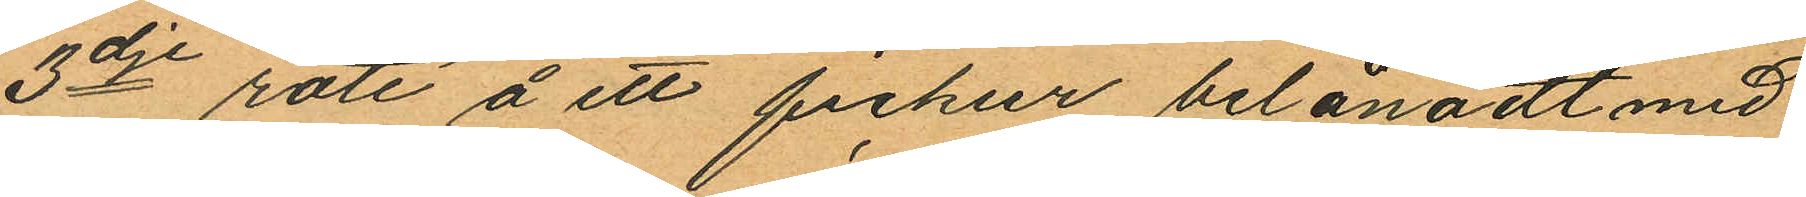3dje rote å ett fickur belånadt med
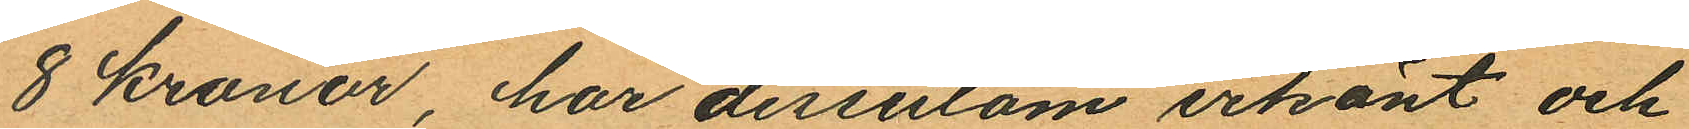8 kronor, har dessutom erkänt och
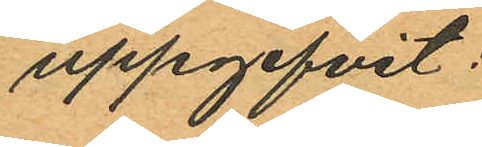uppgifvit:
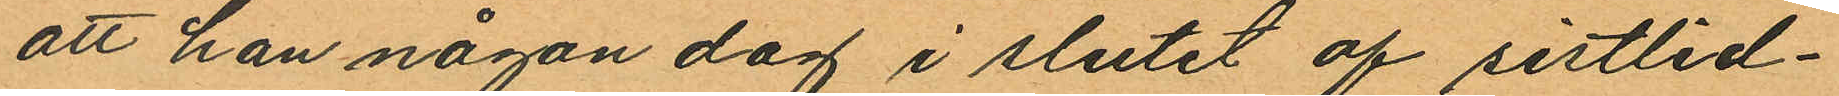att han någon dag i slutet af sistlid¬
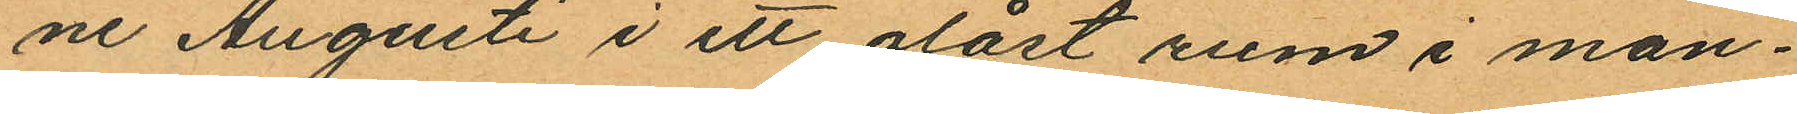ne Augusti i ett olåst rum i man¬
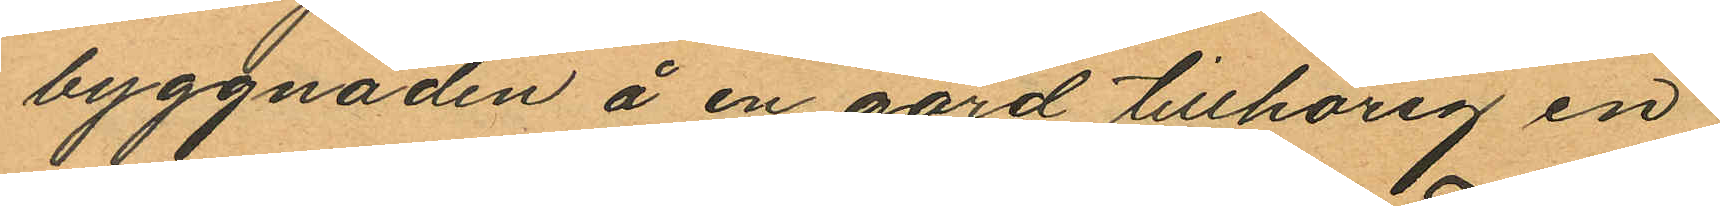byggnaden å en gård tillhörig en
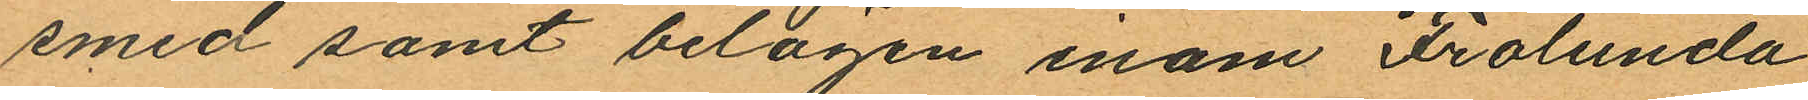smed samt belägen inom Frölunda
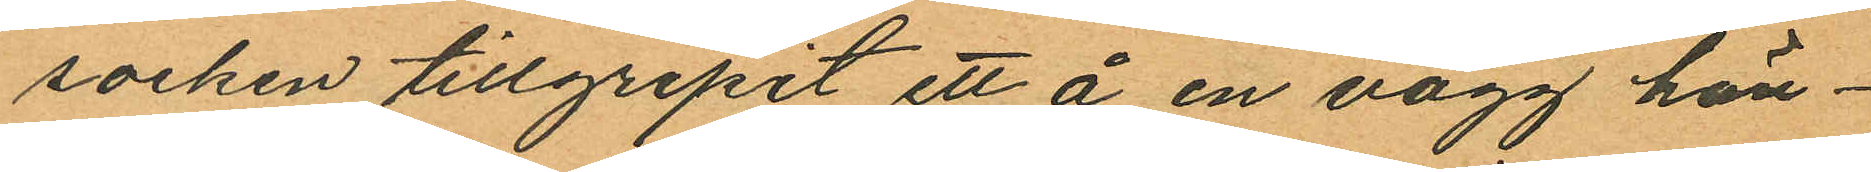socken tillgripit ett å en vägg hän¬
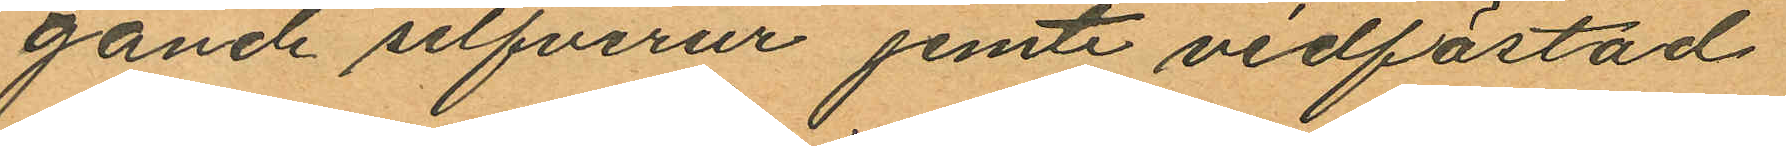gande silfverur jemte vidfästad
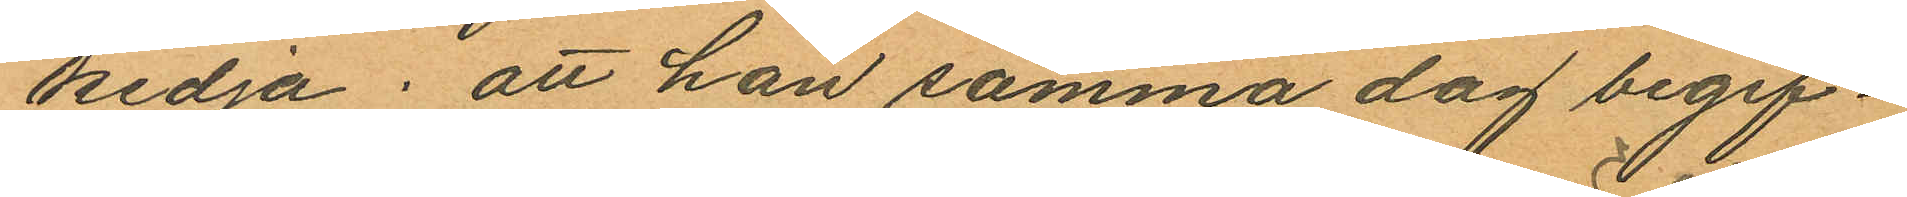kedja; att han samma dag begif¬
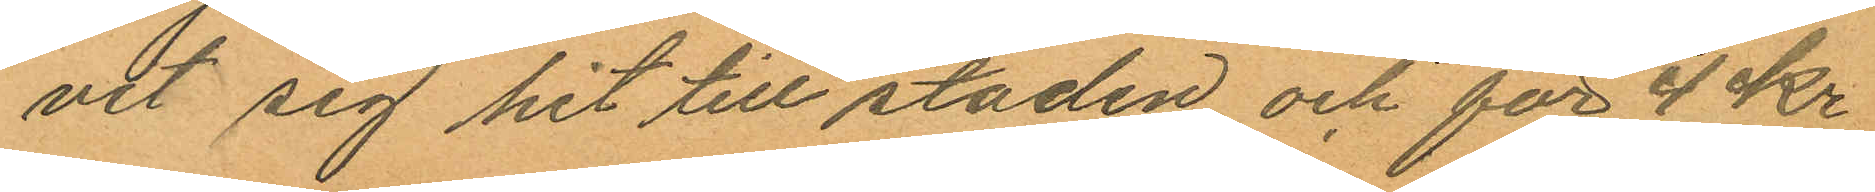vit sig hit till staden och för 4 Kr
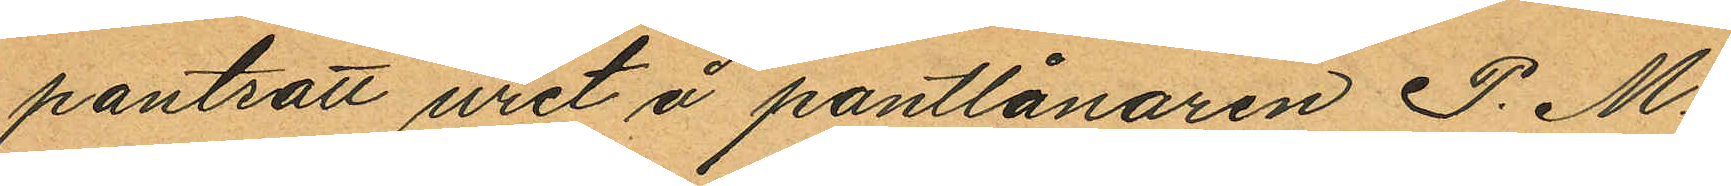pantsatt uret å pantlånaren P. M.
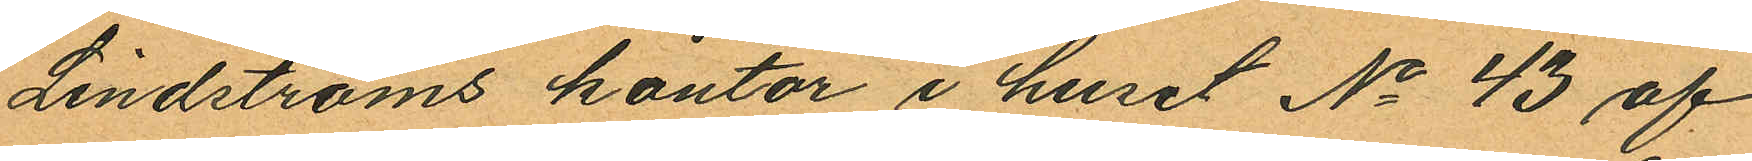Lindströms kontor i huset No 43 af
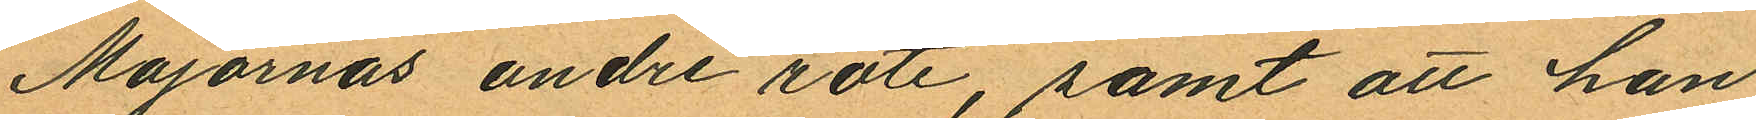Majornas andre rote, samt att han
